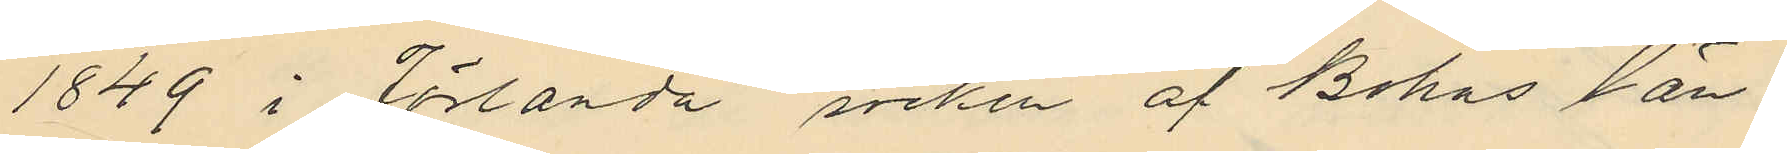1849 i Jörlanda socken af Bohus län
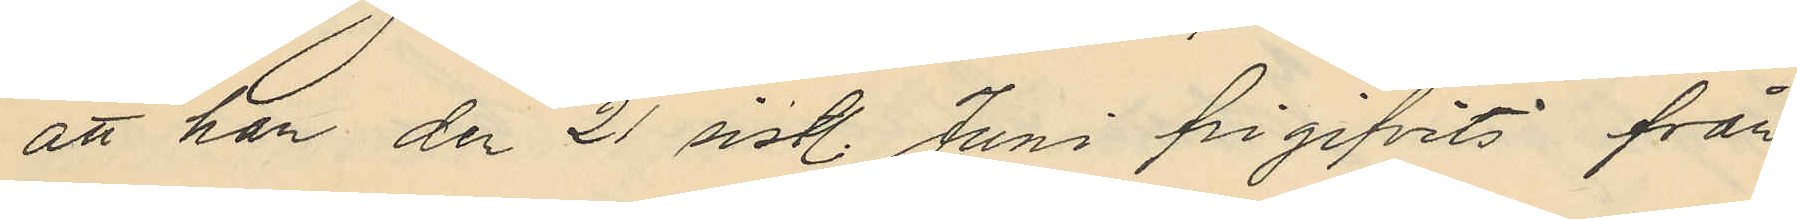att han den 21 sist. Juni frigifvits från
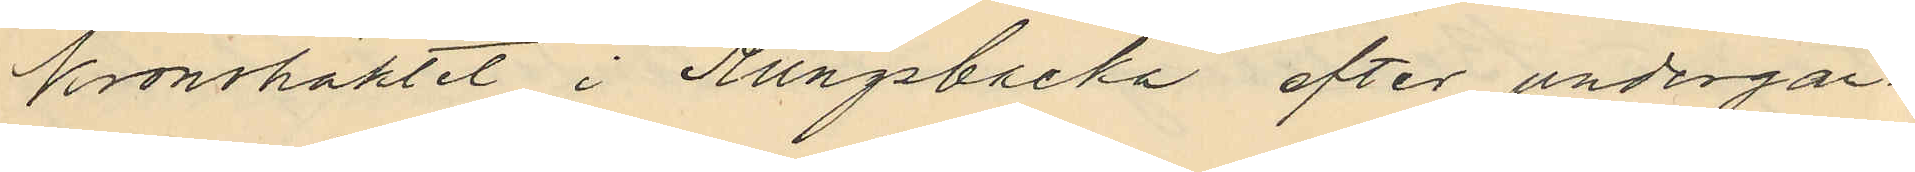kronohäktet i Kungsbacka efter undergån¬
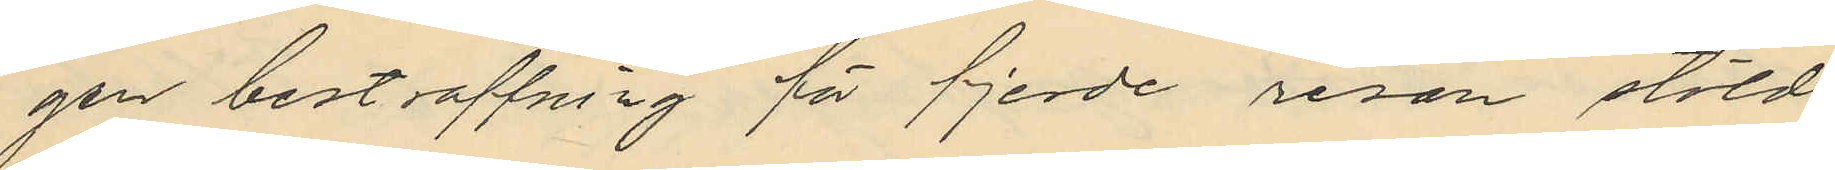gen bestraffning för fjerde resan stöld
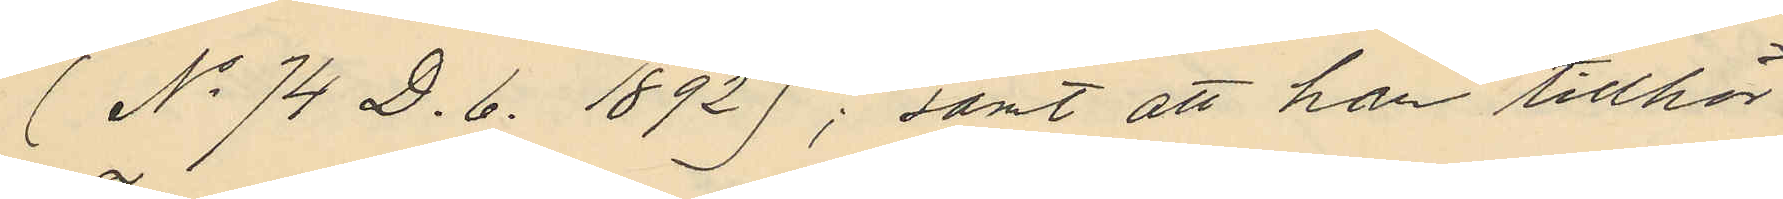(No 74 D. 6. 1892); samt att han tillhör
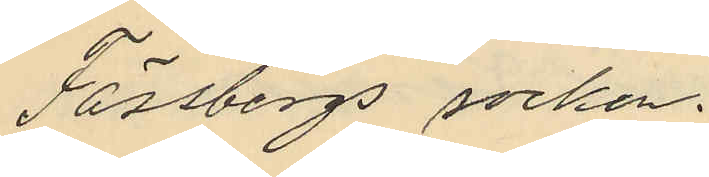Fässbergs socken.
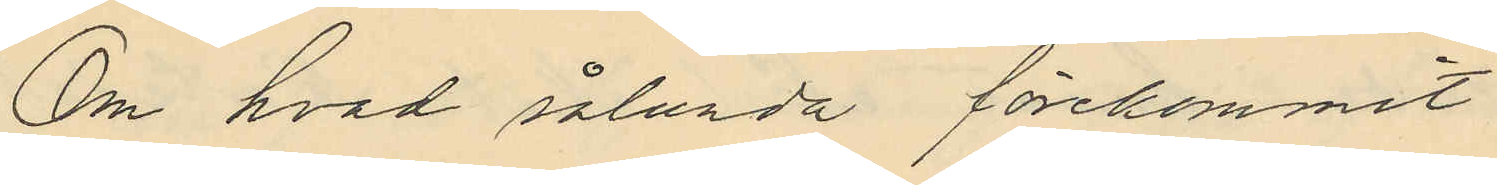Om hvad sålunda förekommit
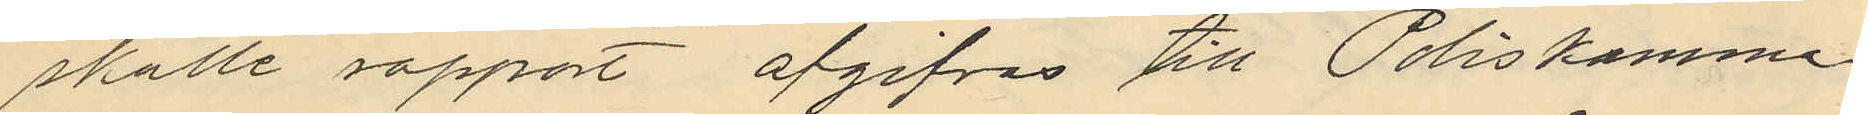skulle rapport afgifvas till Poliskamma¬
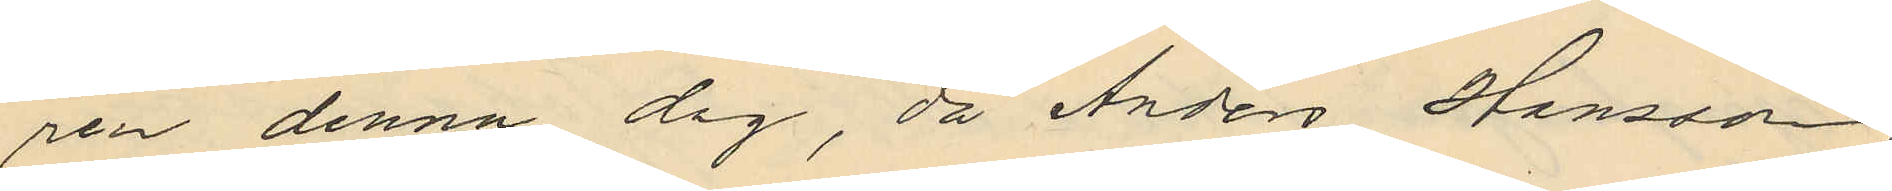ren denna dag, då Anders Hansson,
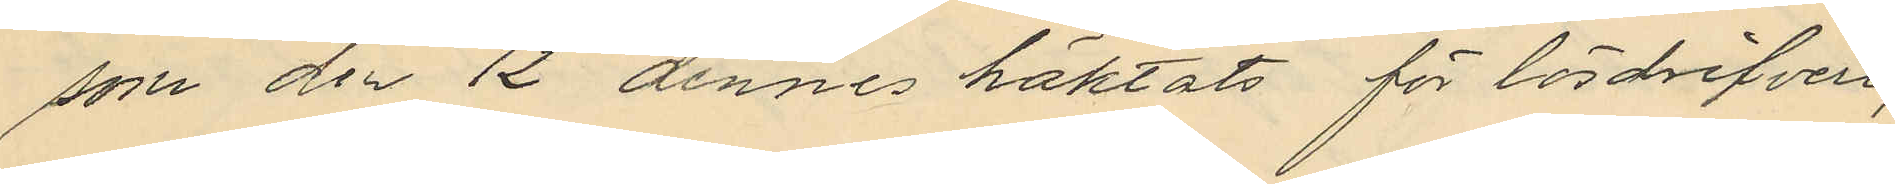som den 12 dennes häktats för lösdrifveri,
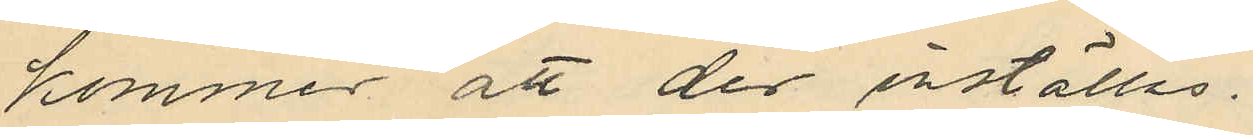kommer att der inställas.
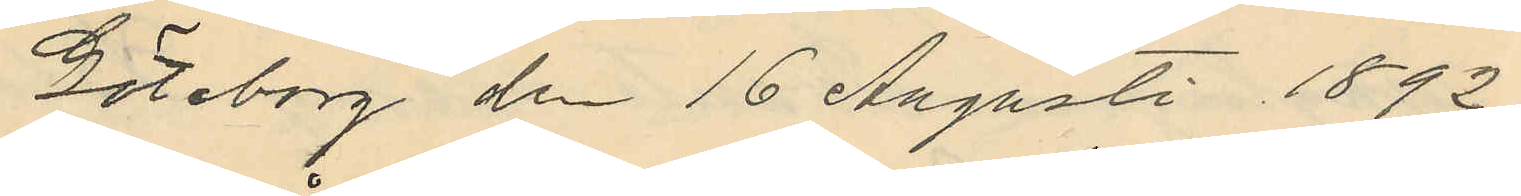Göteborg den 16 Augusti 1892.
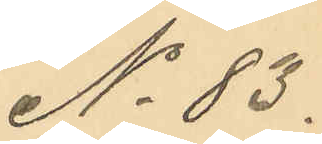No 83.
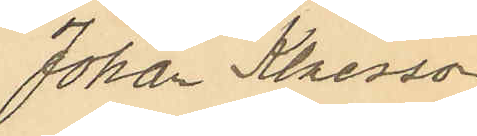Johan Klaesson
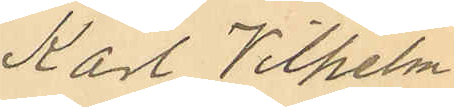Karl Vilhelm
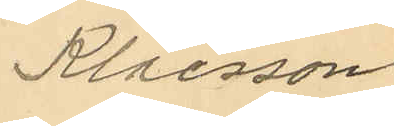Klaesson
